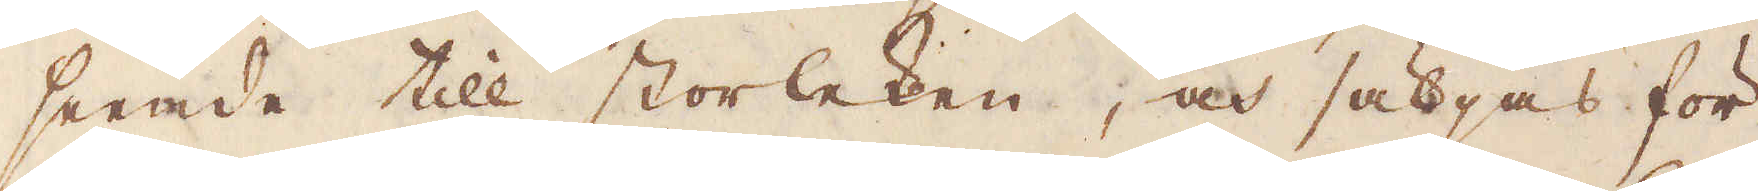seende till storleken, och säljas för
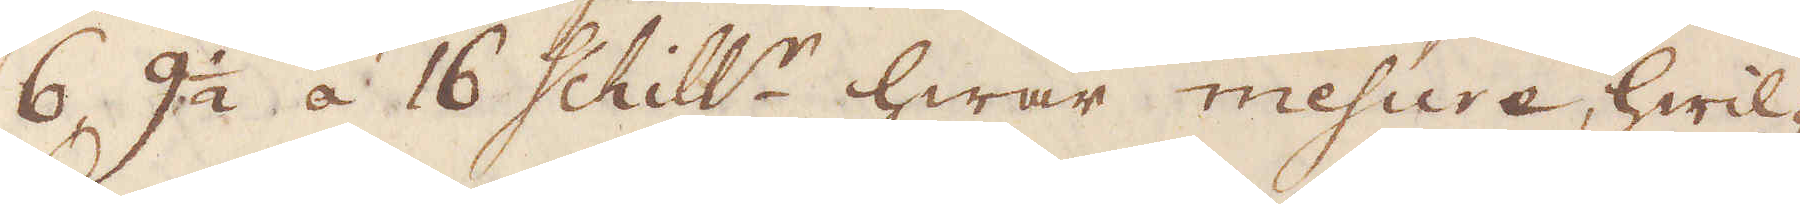6, 9 1/2  á 16 shill:r hwar mesure, hwil-
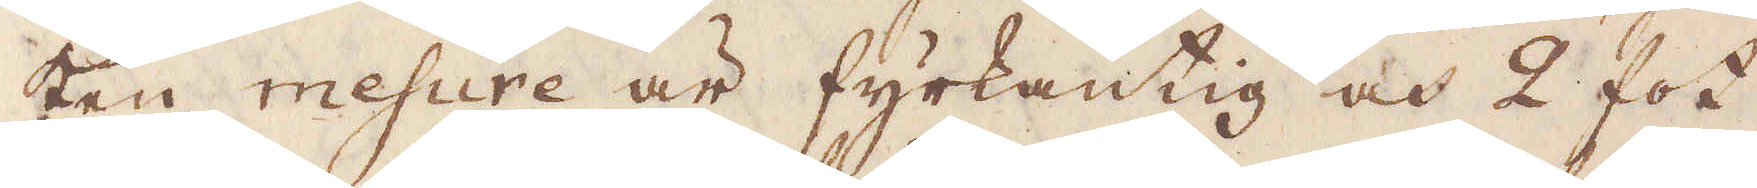ken mesure är fyrkantig och 2 fot
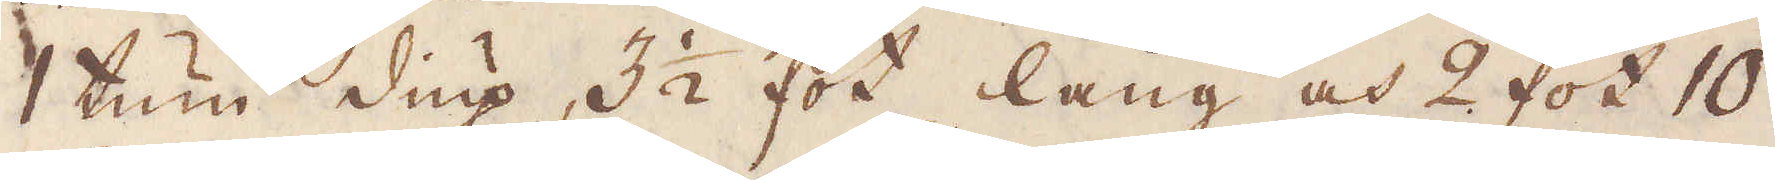1 tum diup, 3 1/2 fot lång och 2 fot 10
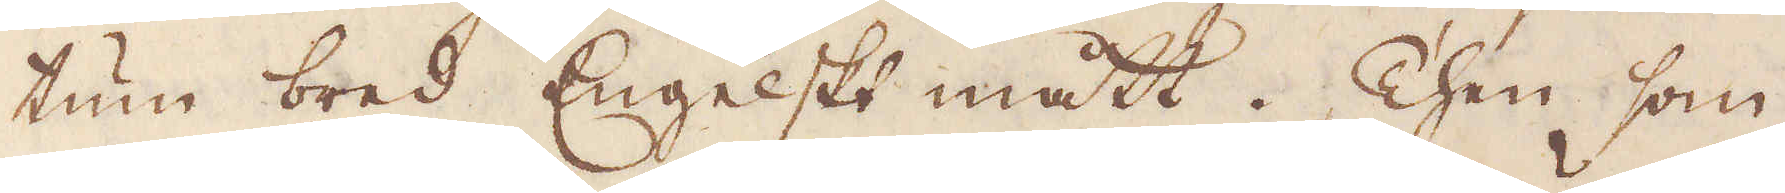tum bred Engelskt mått. Then som
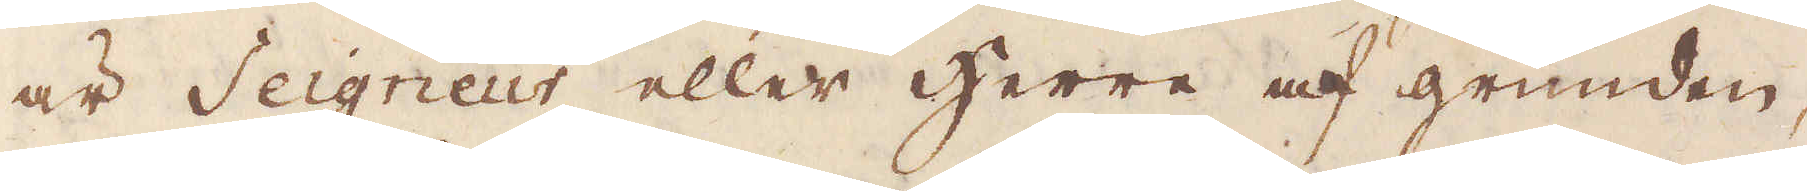är Seigneur eller herre af grunden,
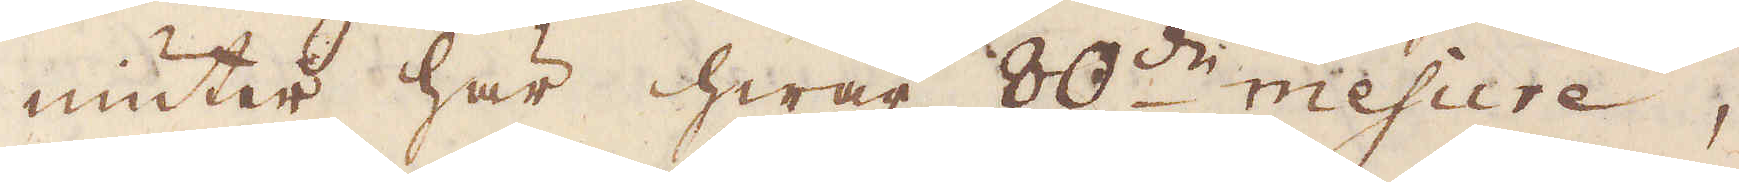niuter här hwar 80:de mesure,
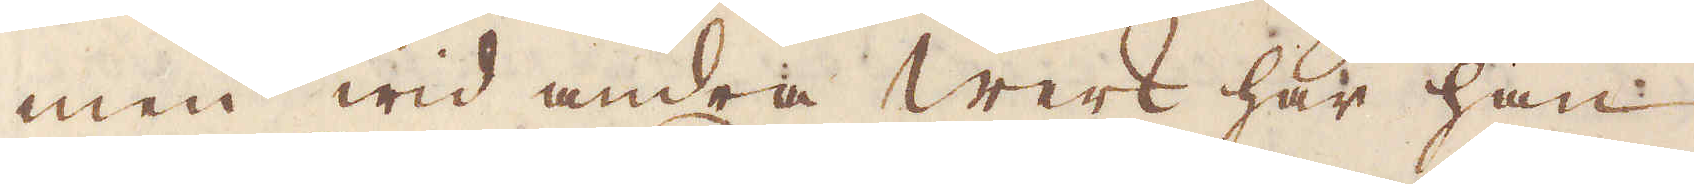men wid andra werk har han
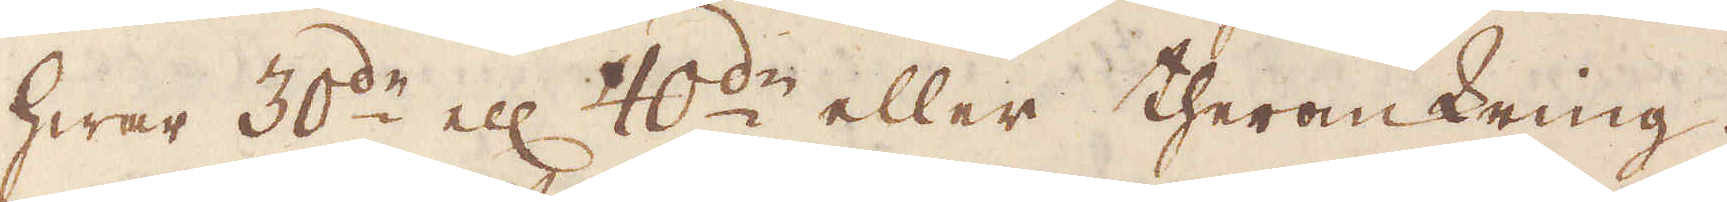hwar 30:de el:r 40:de eller theromkring.
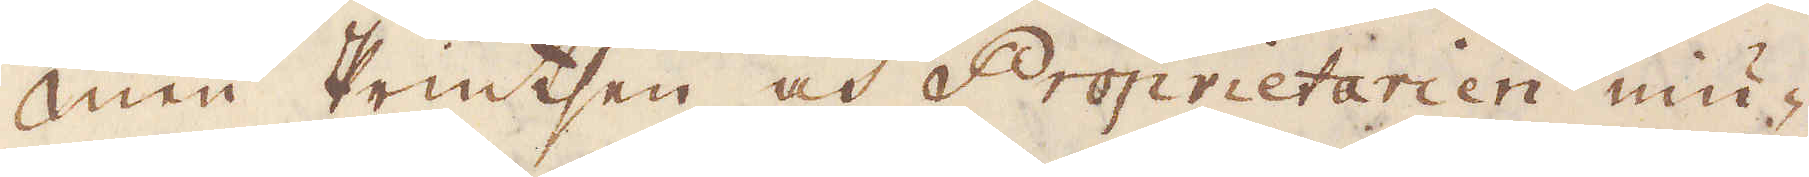Men Printsen och Proprietarien niu-
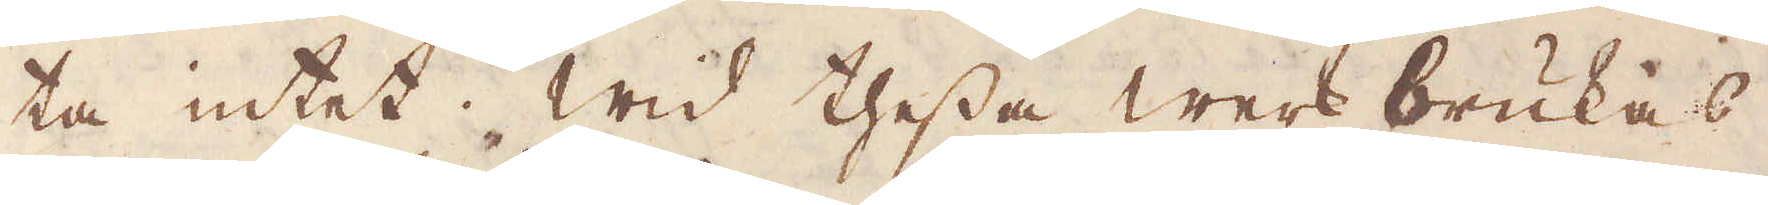ta intet. Wid thessa werk brukas
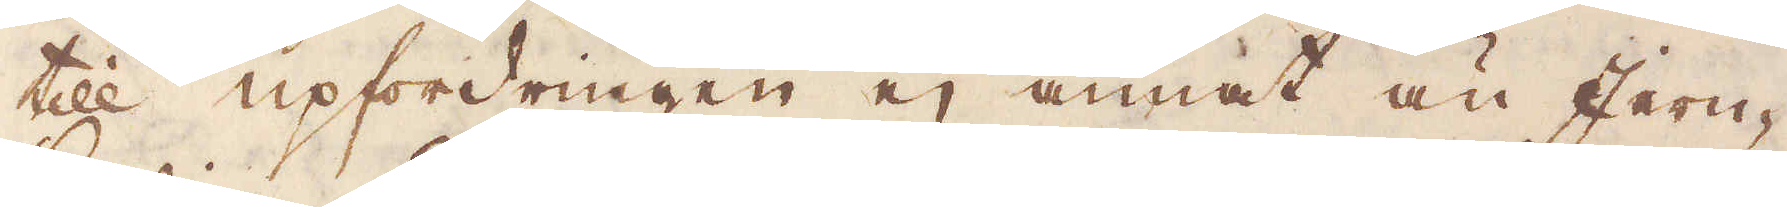till upfordringen ej annat än Jern-
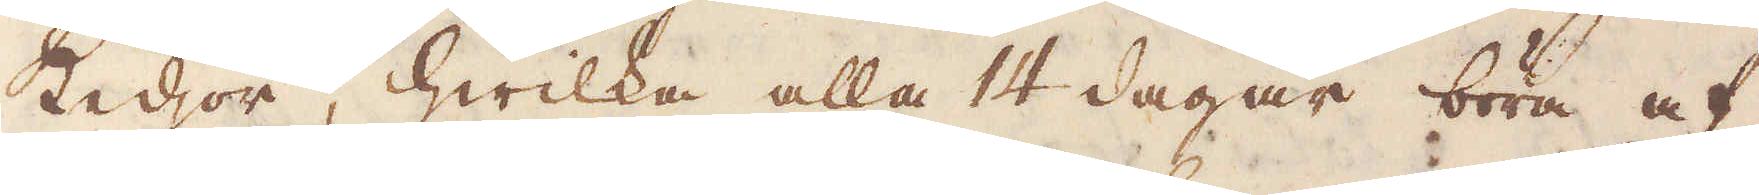kedjor, hwilka alla 14 dagar böra af
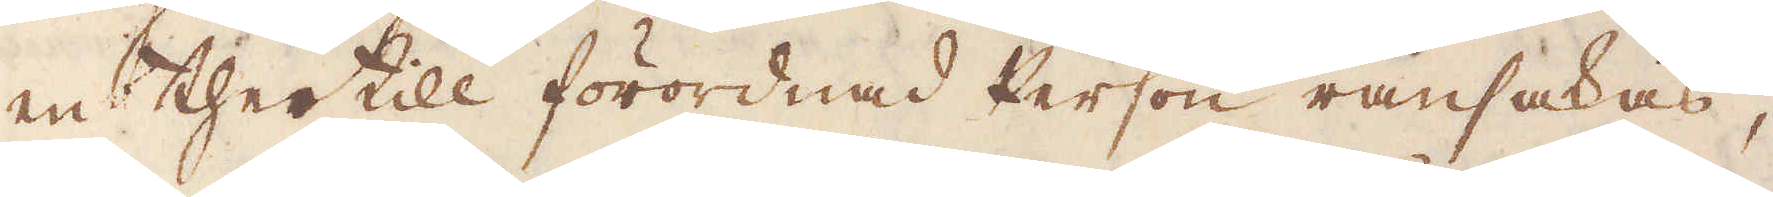en thertill förordnas person ransakas,
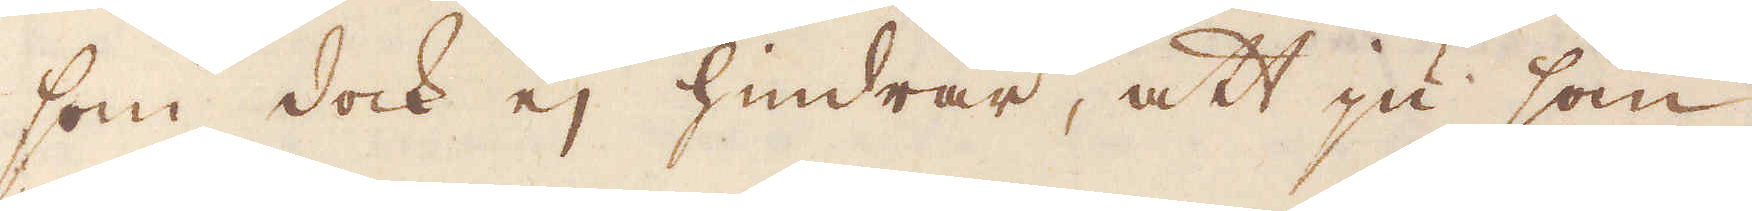som dock ej hindrar, att ju som
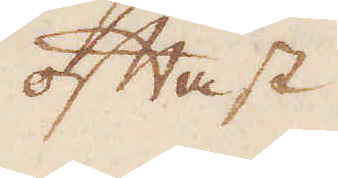oftast
